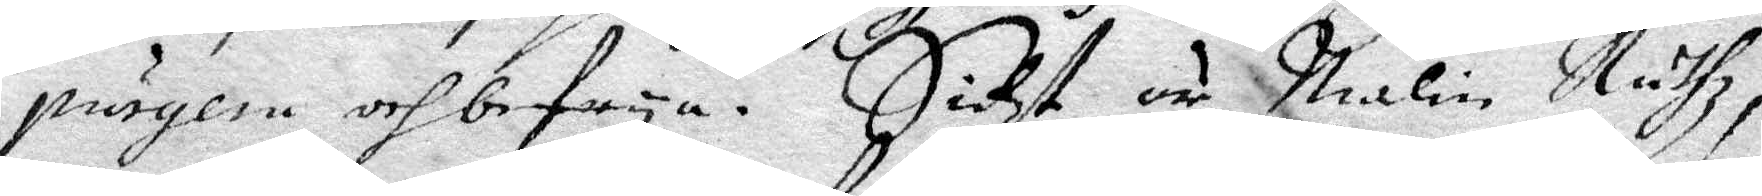purgem och befrya. Sielf är malin Ruthz,
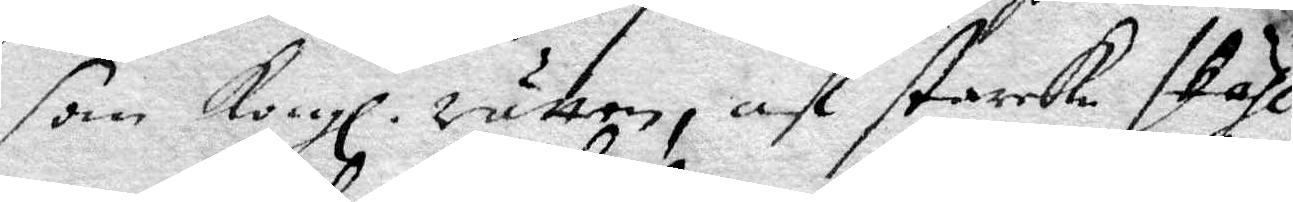som Kongl. rätten, af starcke skiäl 
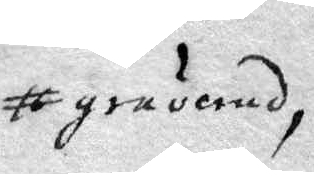graverad
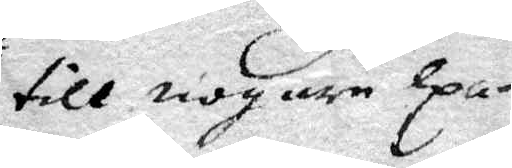till nogare Exa¬
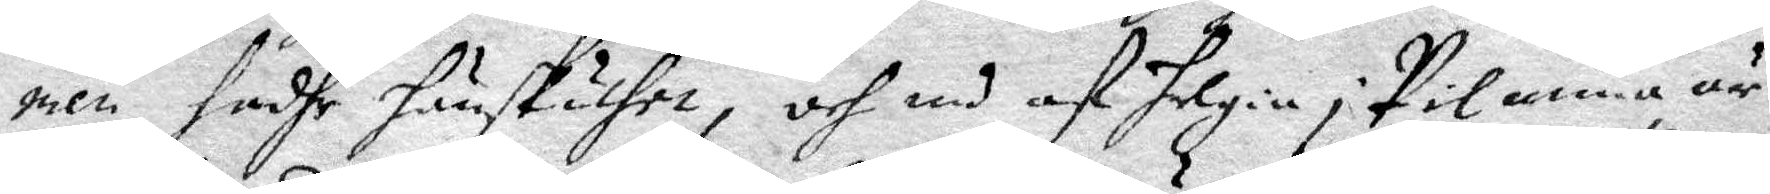men, hadhe hänskulhet, och med af Helgia i Pilanna är
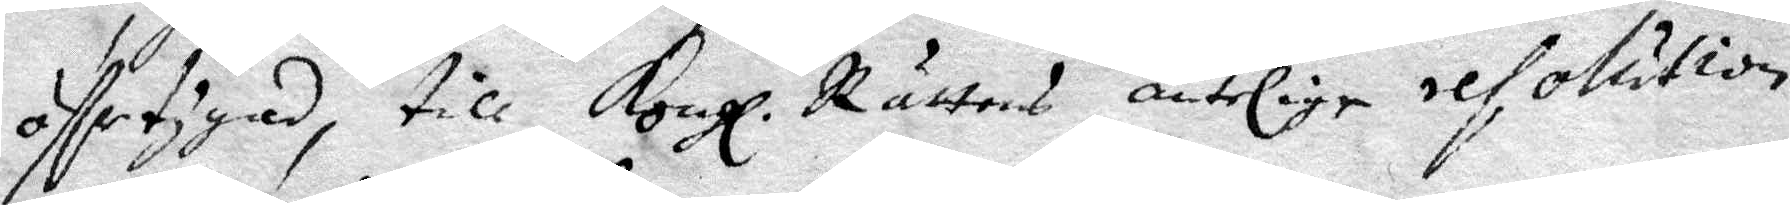öfvertygad, till Kongl. Rättens äntelige resolution
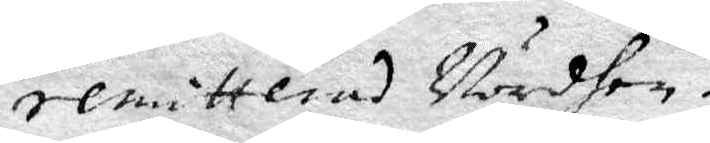remitterad Vordhen.
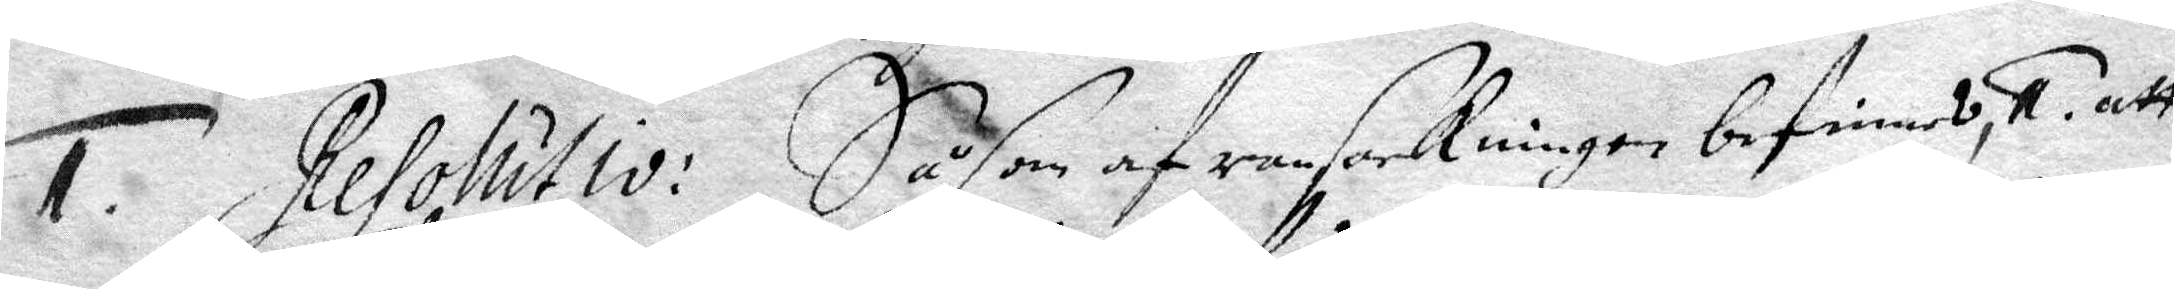1. Resolutio: Såsom af ransackningen befinnes, 1. att
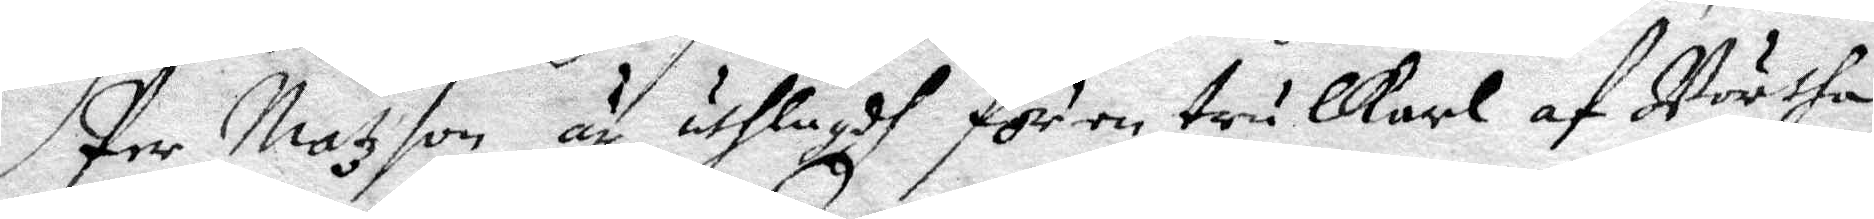Per Matzson är uthlagdh för en trulkarl af Börtha
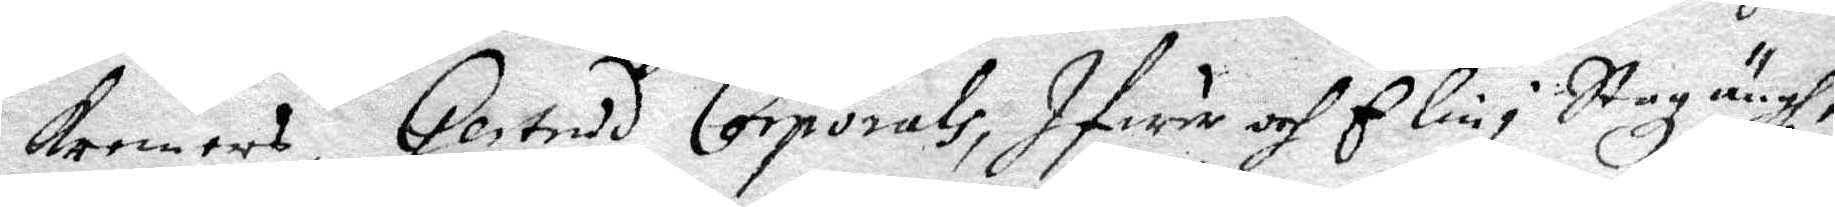Kremens, Gertrud Corporals, Ifwer och Elin i Stazängh,
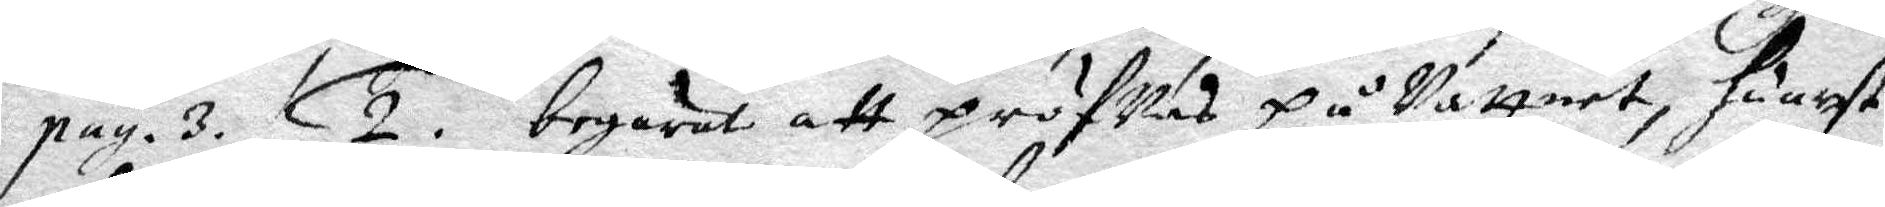pag. 3. 2. begärat att pröfvas på vattnet, huast
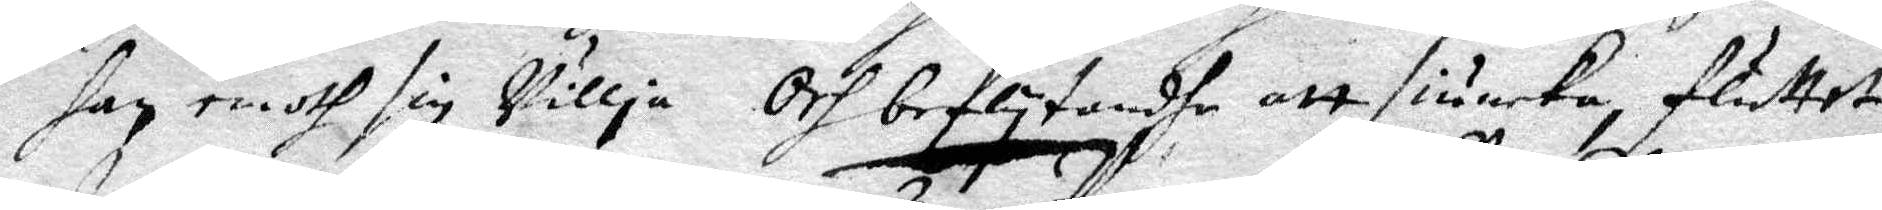han emoth sin willia och beflytandhe att siunka, fluttet
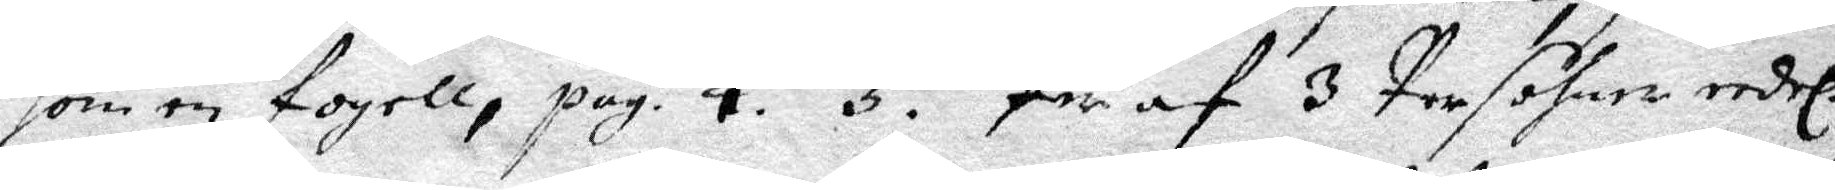som en fogell, pag. 4. 3. Per af 3 Persohner eedel.
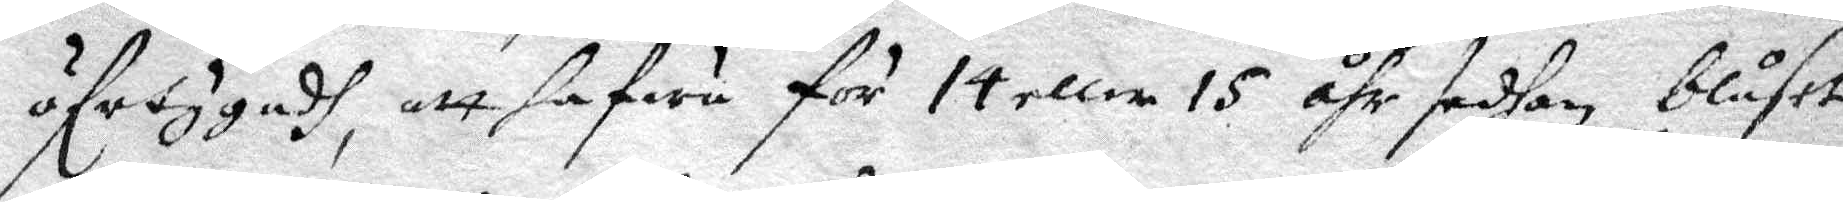öfvertygadh, att hafua för 14 eller 15 åhr sedhan, blåset
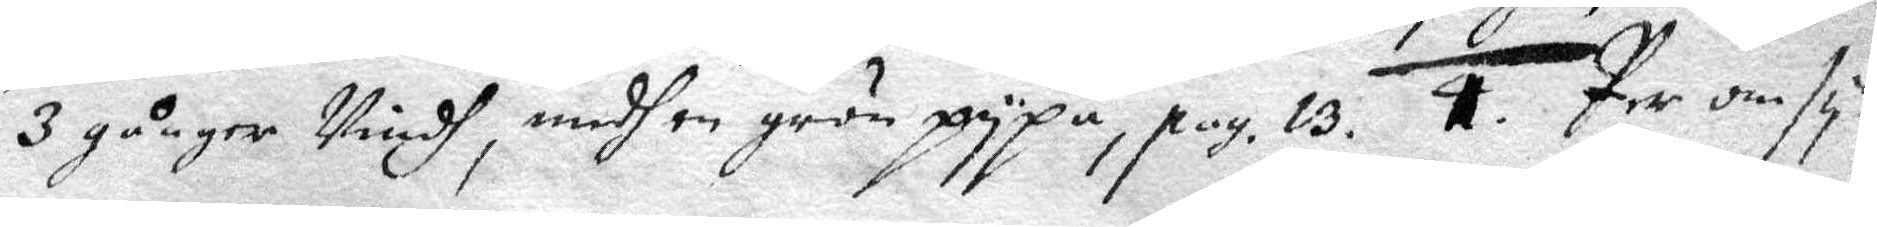3 gånger Vindh, medh en grön pypa, pag.13. 1. Per omsy¬
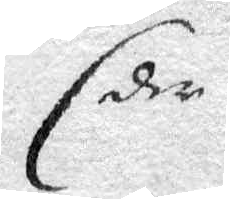der
